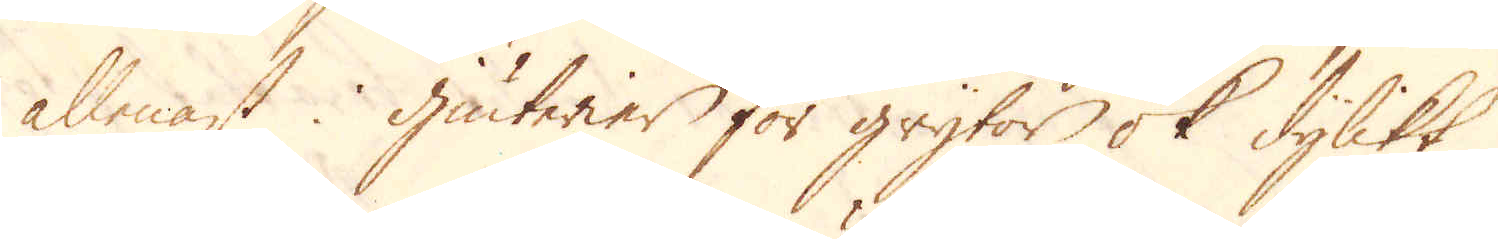allenast i Giuterier för grytor ok dylikt.
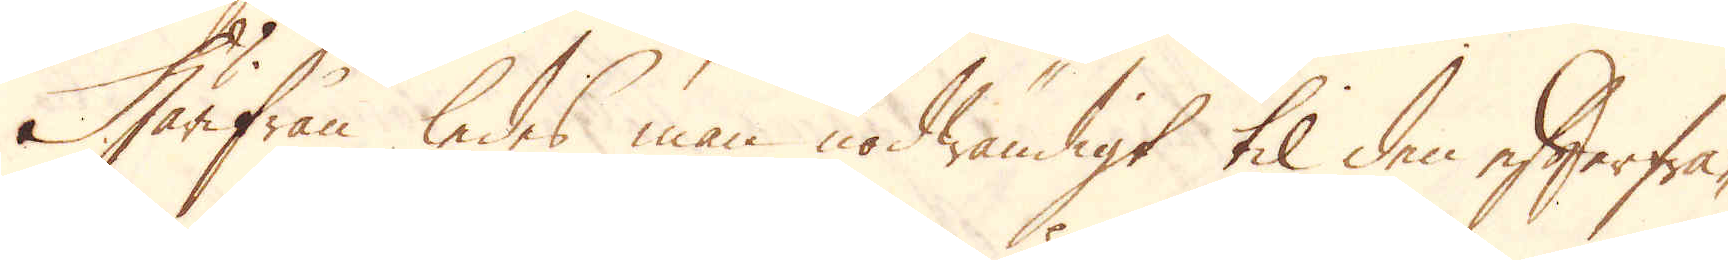Härifrån ledes man nödwändigt til den efterfrå-
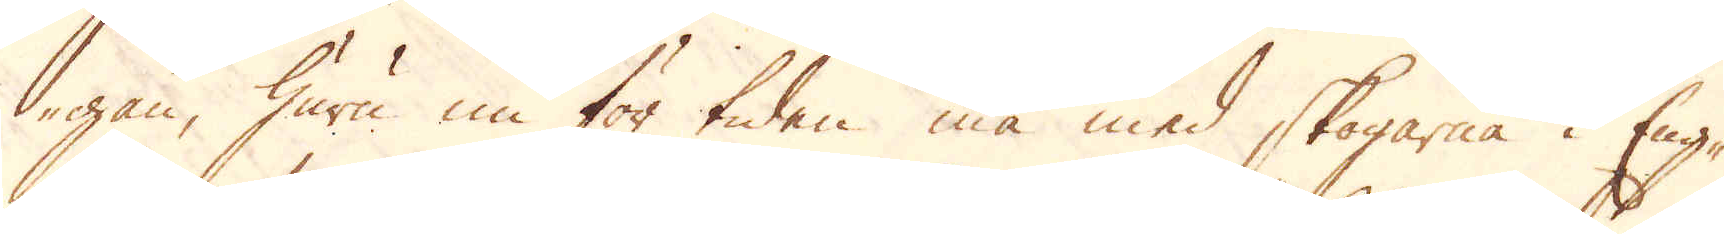gan, huru nu för tiden må med skogarne i Eng-
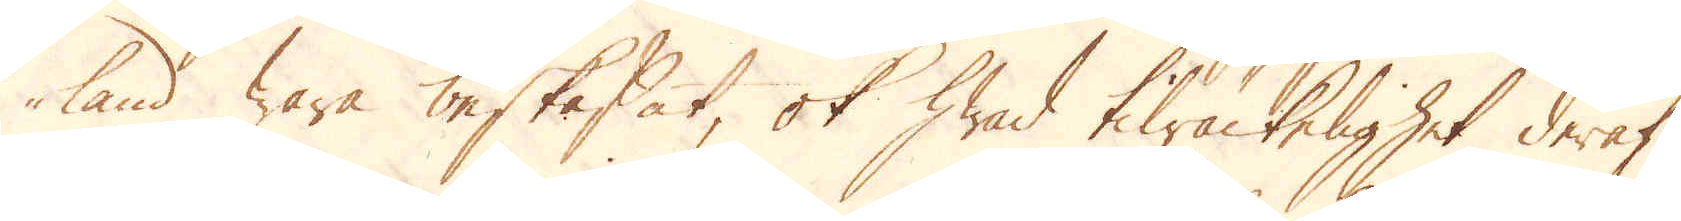land wara beskaffat, ok hwad tilräckelighet deraf
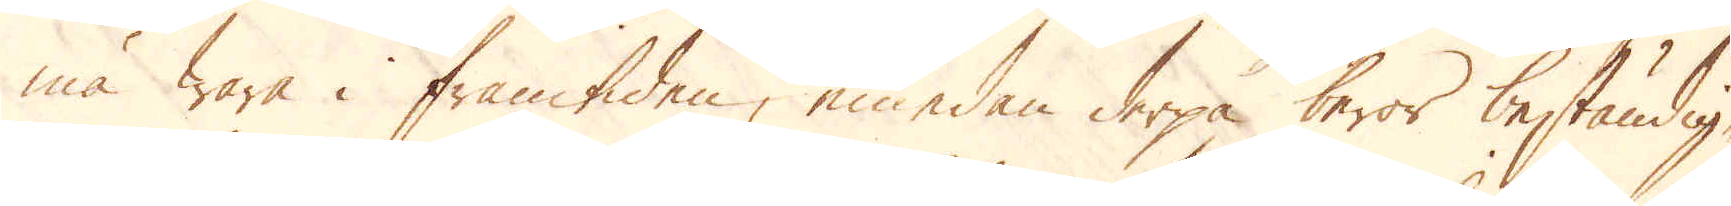må wara i framtiden, emedan derpå beror beständig-
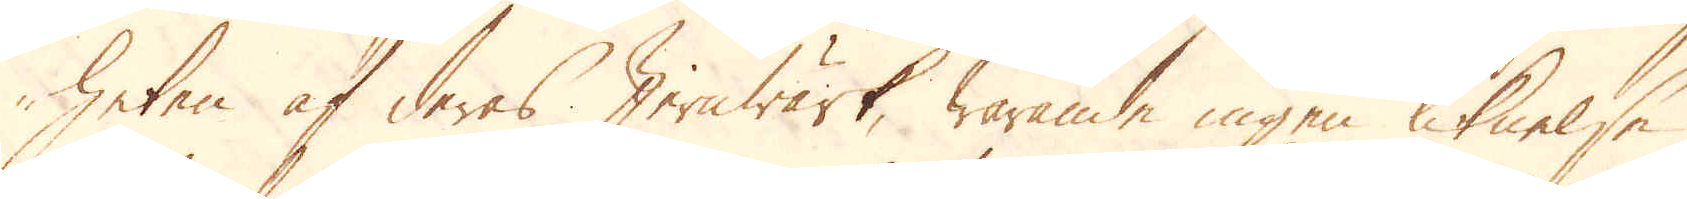heten af deras Jernwärk, warande ingen liknelse
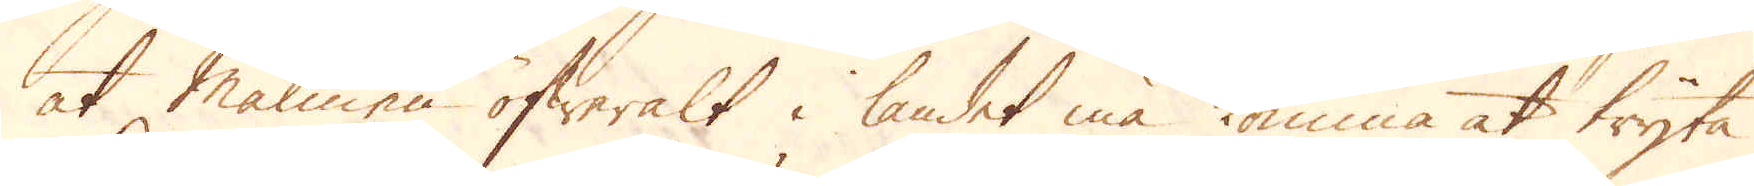at Malmen öfweralt i landet komma at tryta.
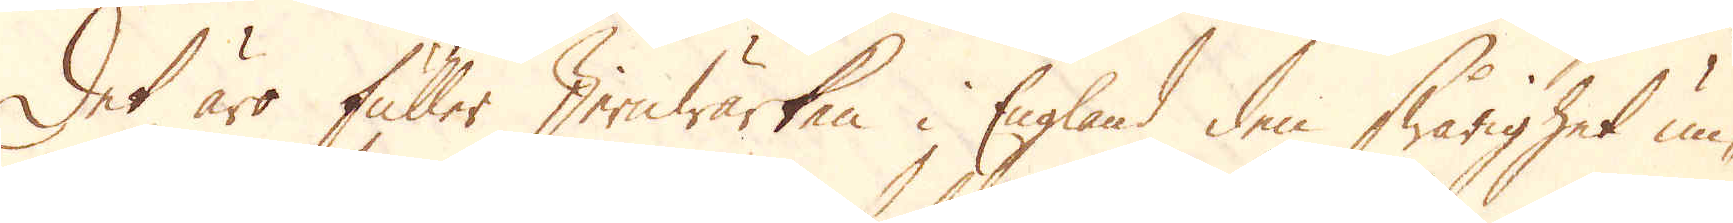Det äro fuller Jernwärken i England den swårighet un-
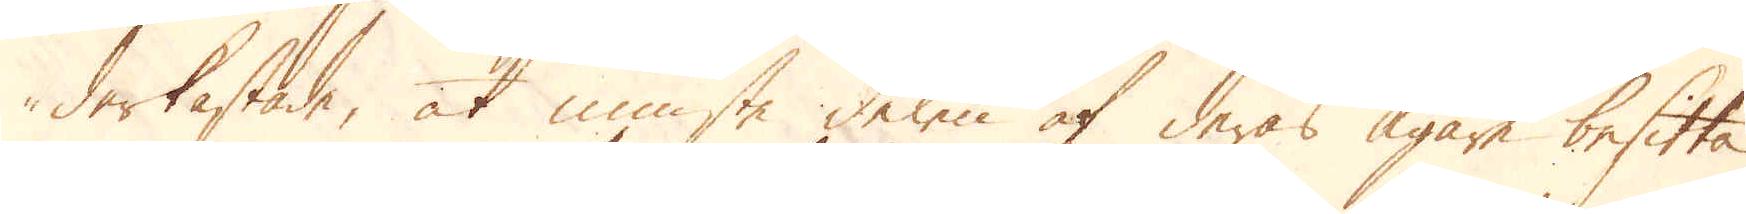derkastade, at minsta delen af deras ägare besitta
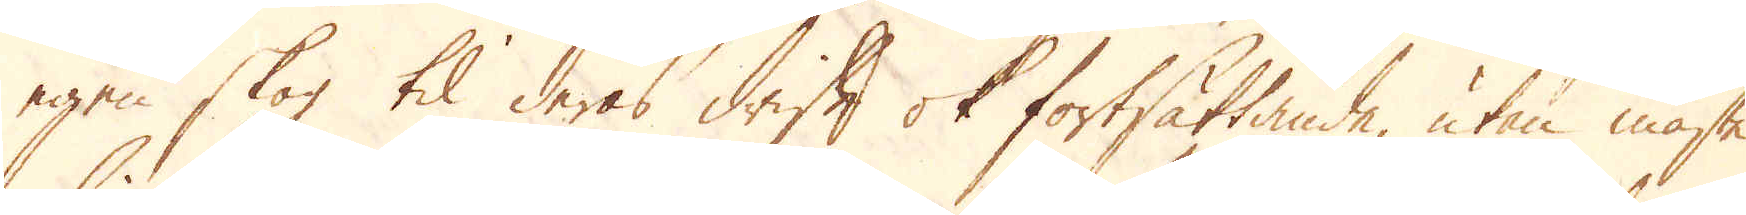egen skog til deras drift ok fortsättande, utan måste
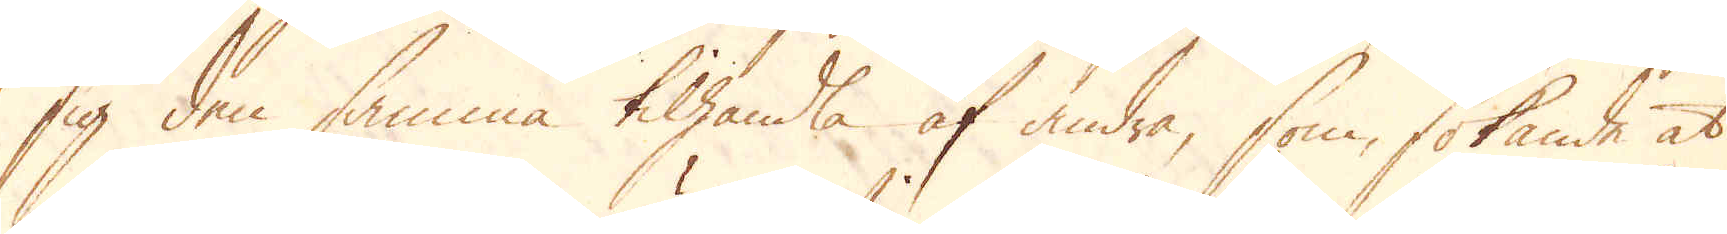sig den samma tilhandla af andra, som sökande at
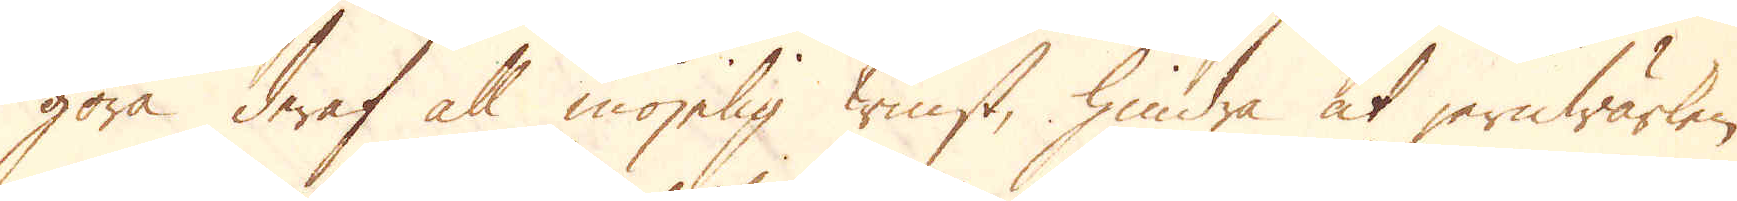göra deraf all möjelig tienst, hindra at jernwärken
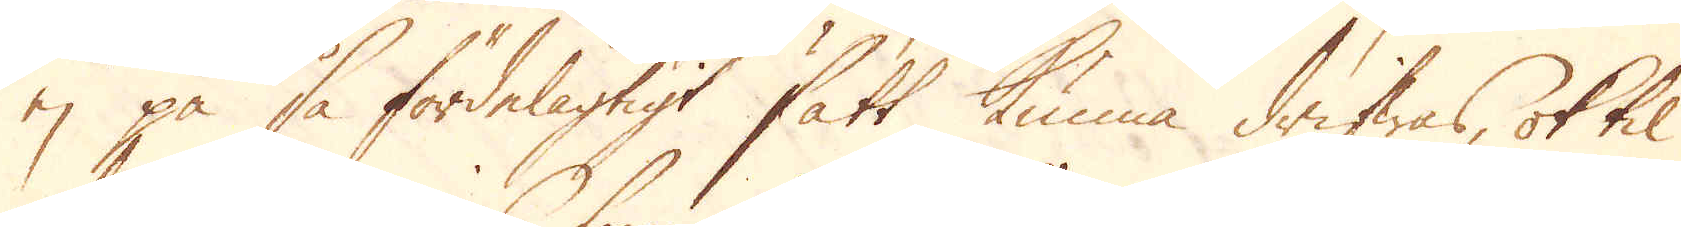ej på så fördelagtigt sätt kunna drifwas, ok til
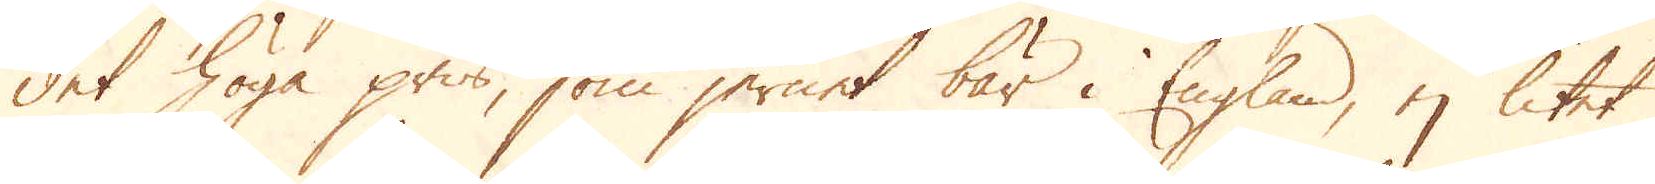det höga pris, som jernet bär i England, ej litet
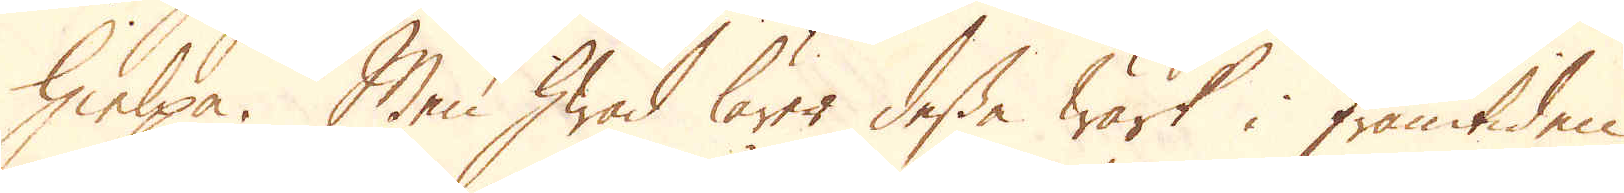hielpa. Men hwad lärer dessa Wärk i framtiden
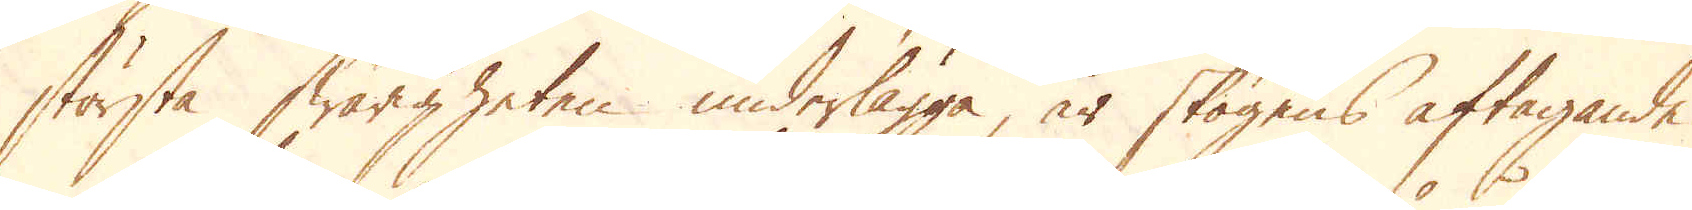största swårigheten underlägga, är skogens aftagande
